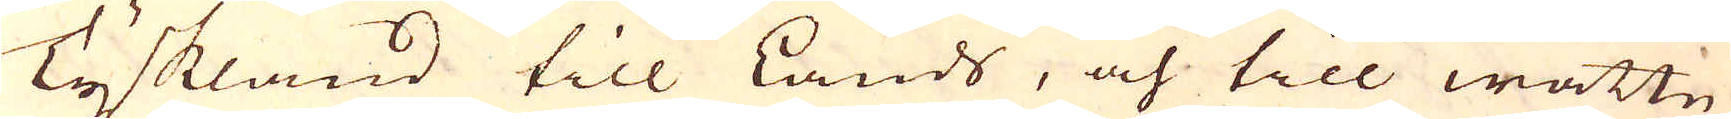Tyskland till Lands, och till wattn
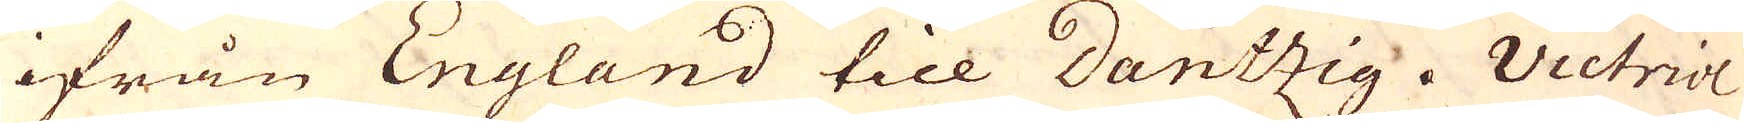ifrån England till Dantzig. Victriol
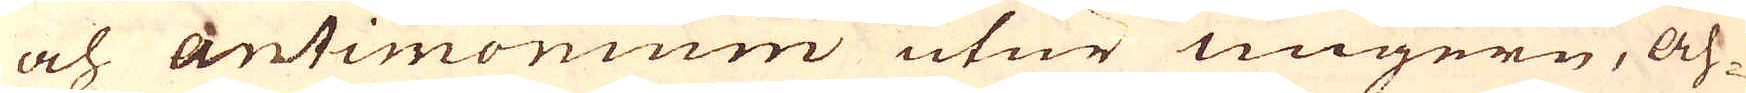och Antimonium utur Ungern, Ah-
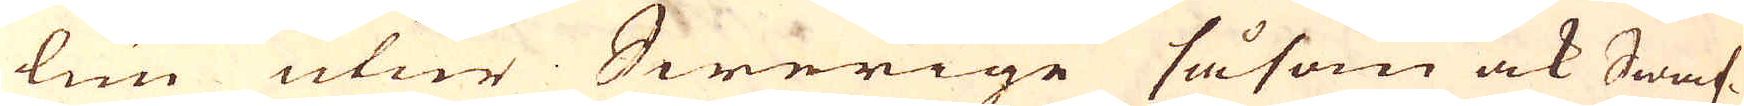lun utur Swerige såsom ock Swaf-
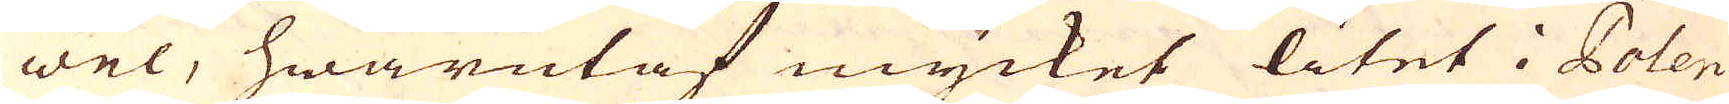wel, hwarutaf mycket litet i Polen
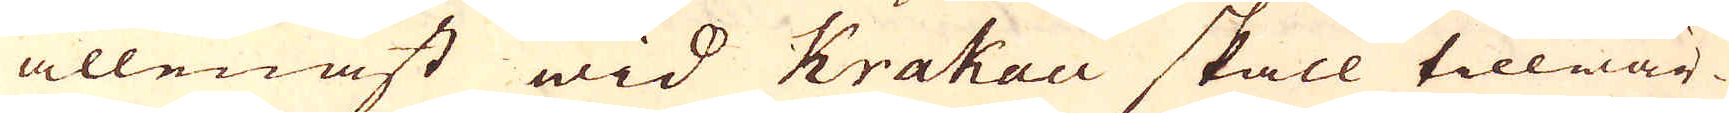allenast wid Krahau skall tillwär-
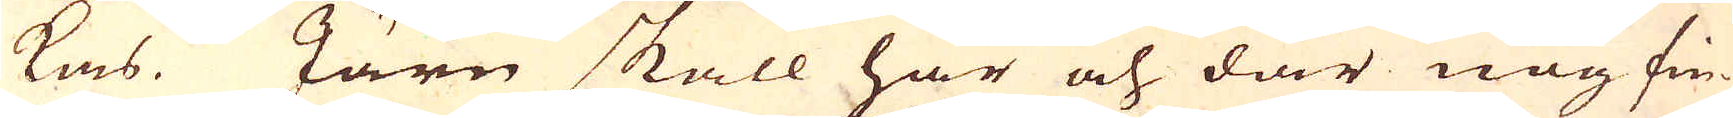kas. Järn skall här och där nog fin-
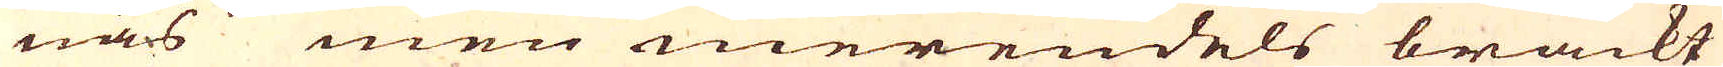nas men merendels bräckt
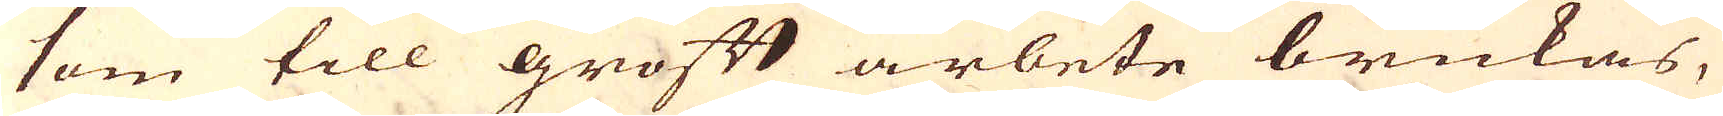som till groft arbete brukas,
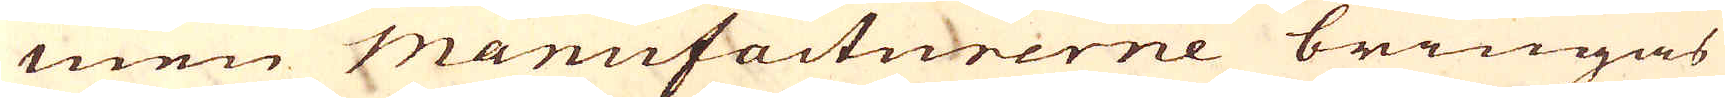men Manufacturerne bringas
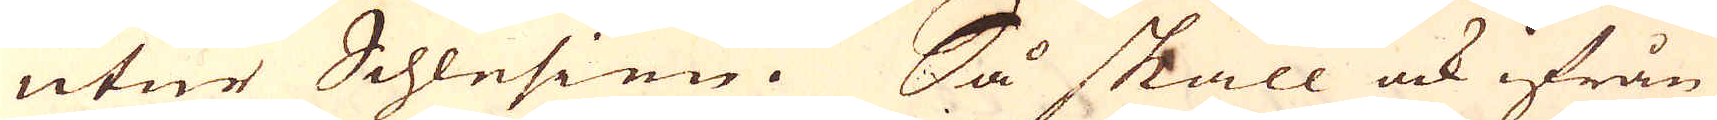utur Schlesien. Så skall ock ifrån
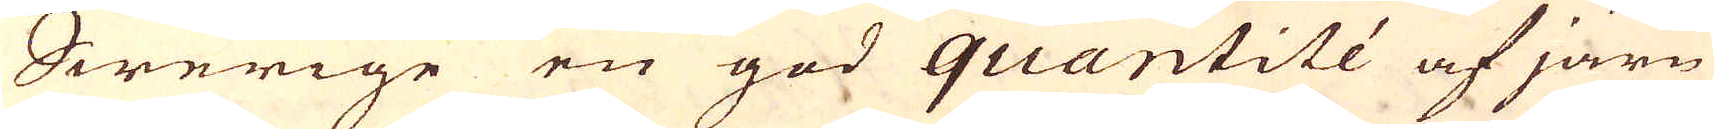Swerige en god quantité af järn
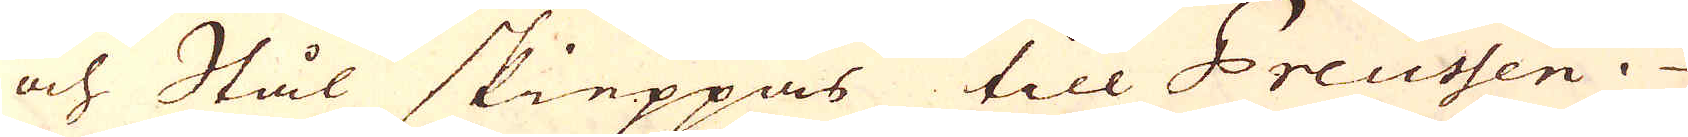och Stål skieppas till Preussen.
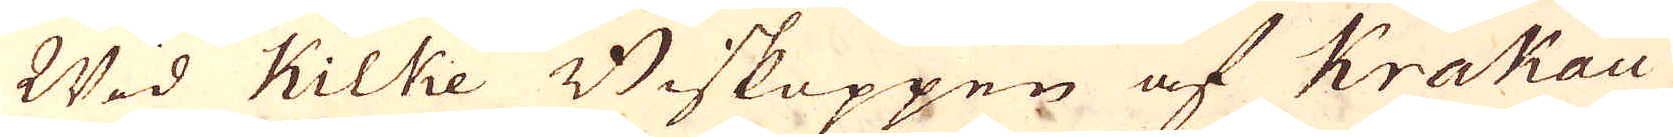Wid Kilke Biskoppen af Krakau
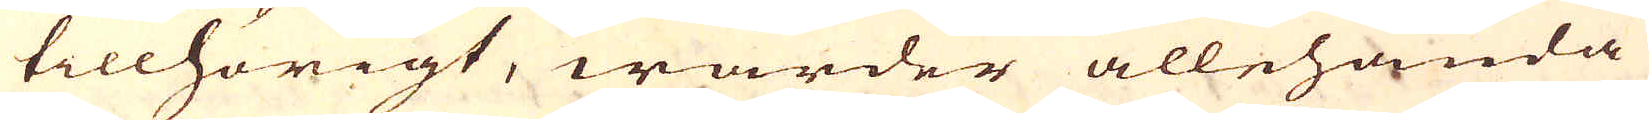tillhörigt, warder allehanda
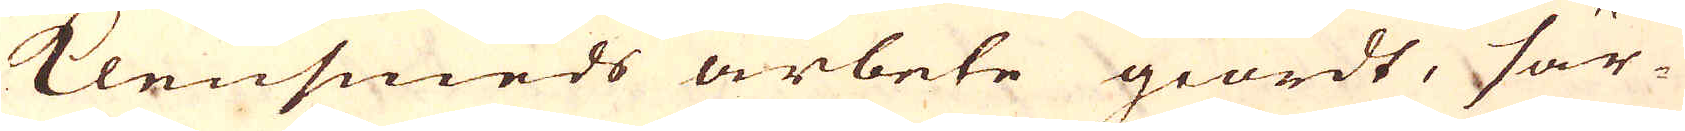Klensmeds arbete giordt, sär-
